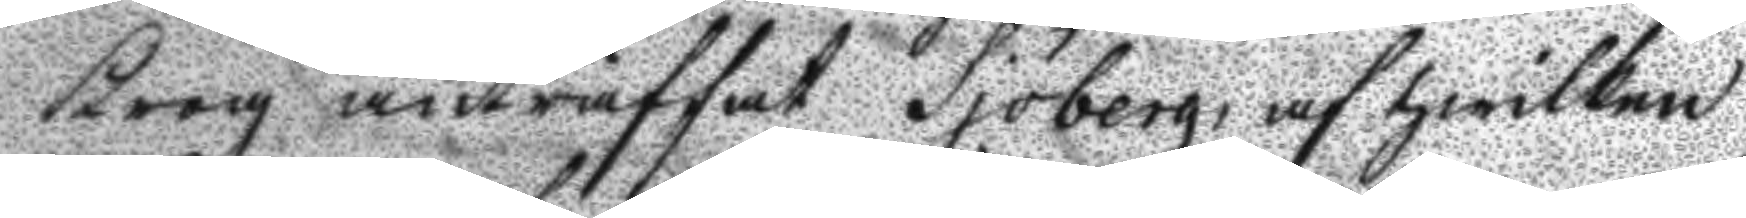Krog anträffat Sjöberg, af hwilken
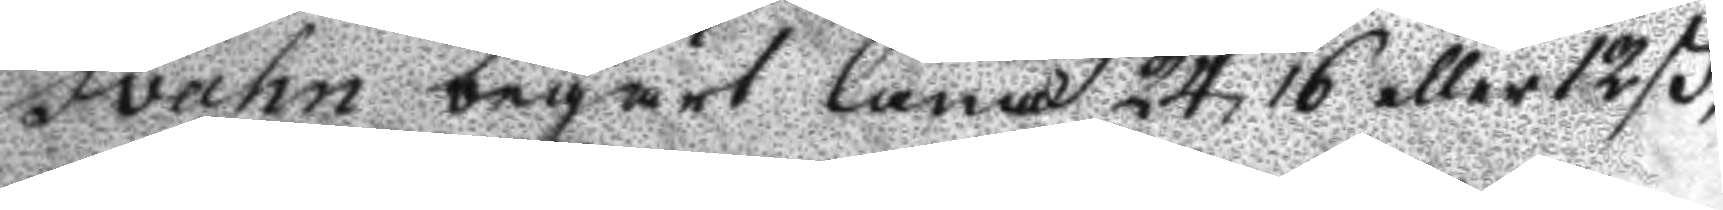Svahn begärt låna 24, 16 eller 12 ß,
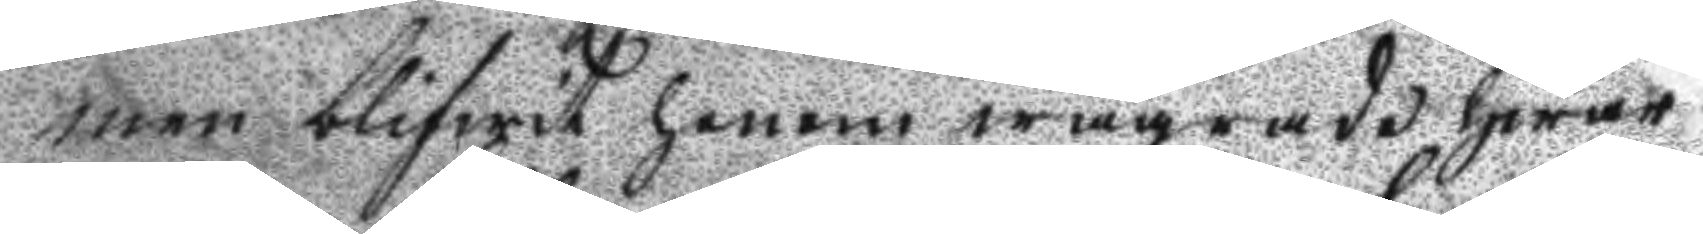men blifwit honom wägrade hwar¬
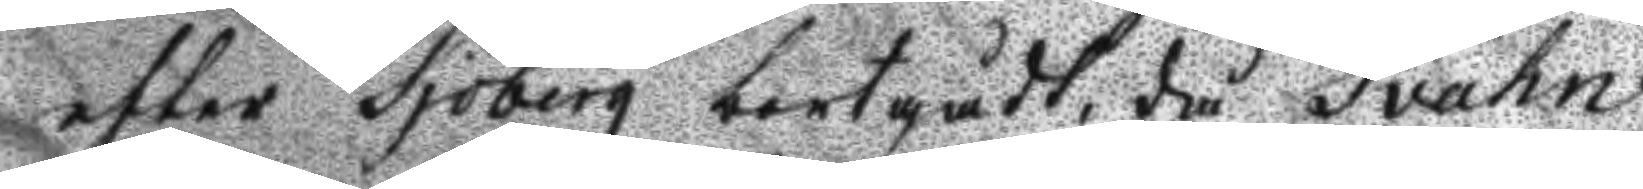efter Sjöberg bortgådt, då Svahn
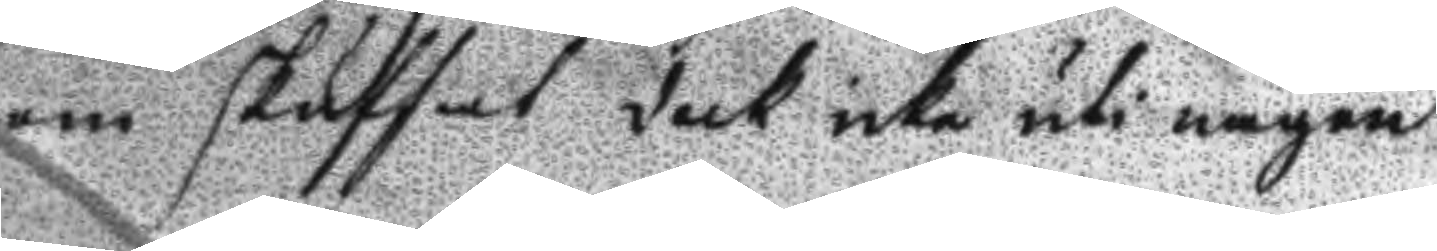honom skuffat dock icke uti någon
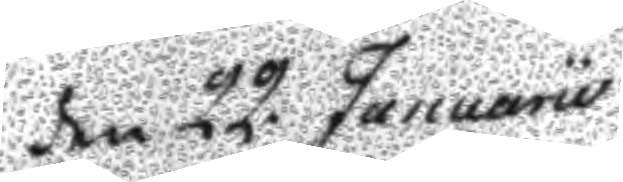den 22 Januarii
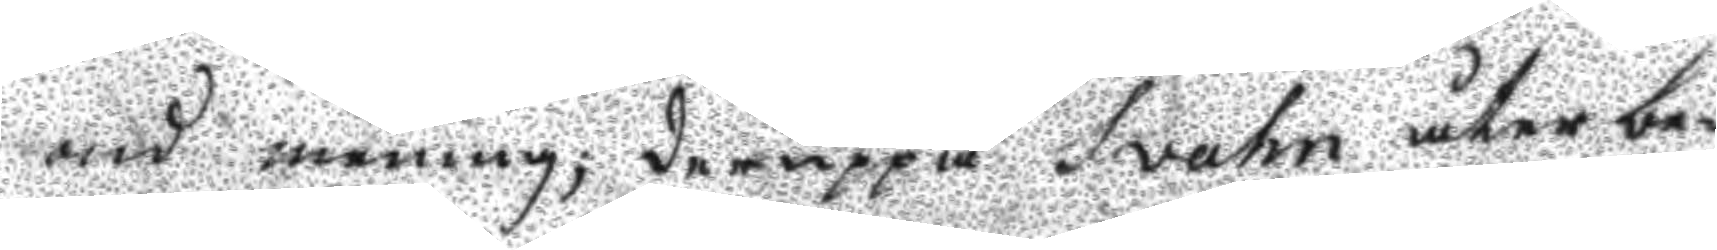ond mening; deruppå Svahn åter be¬
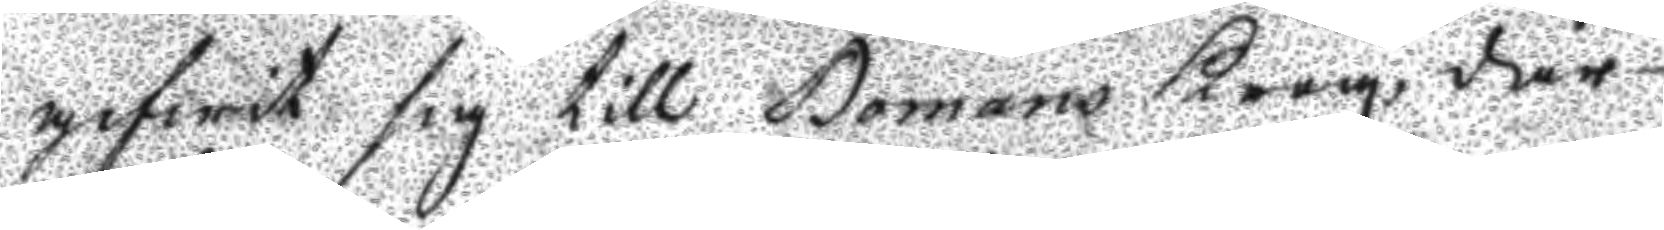gifwit sig till Bomans Krog, där
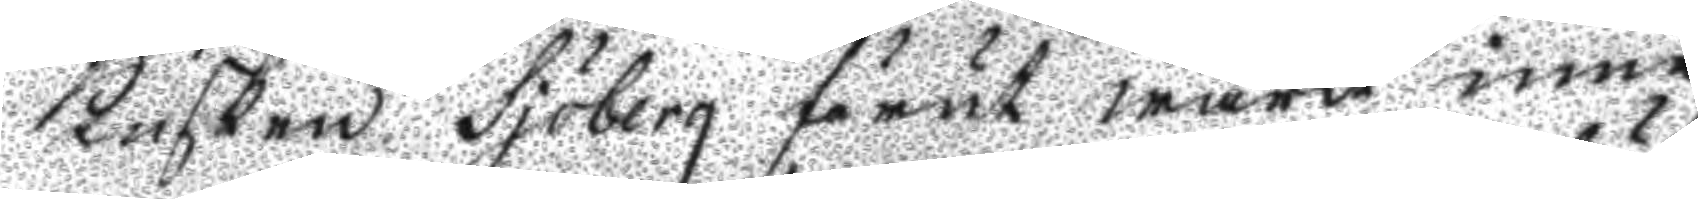Kusken Sjöberg förut warit inne
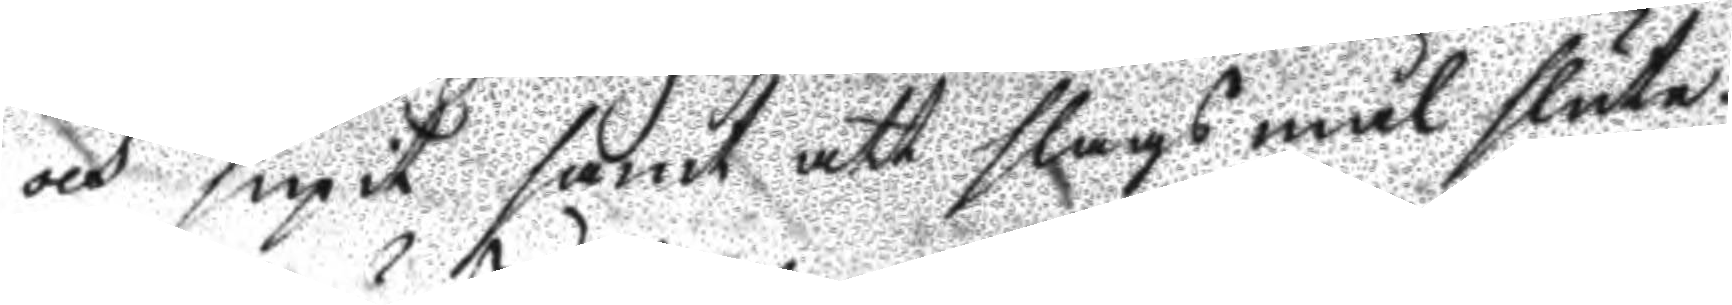och supit samt att slagsmål slute¬
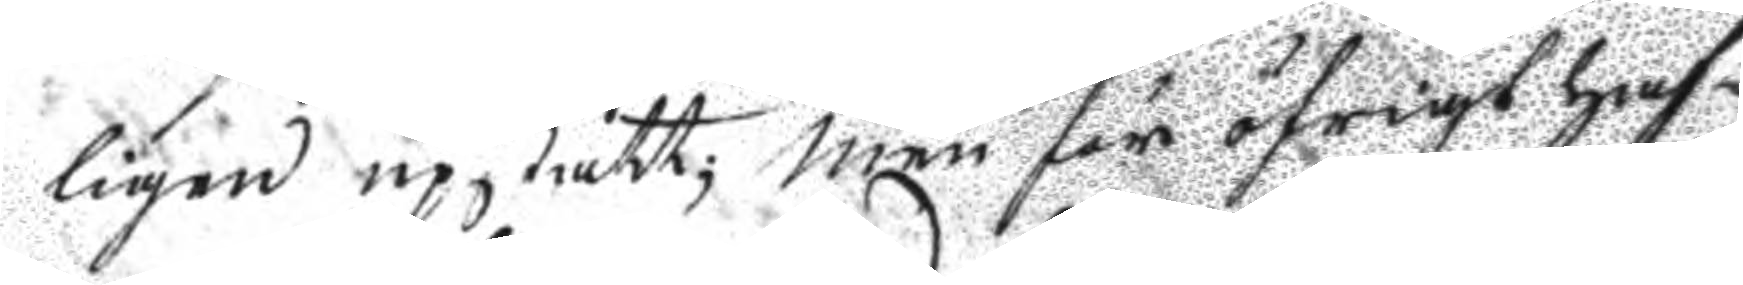ligen uppstått; men för öfrigt haf¬
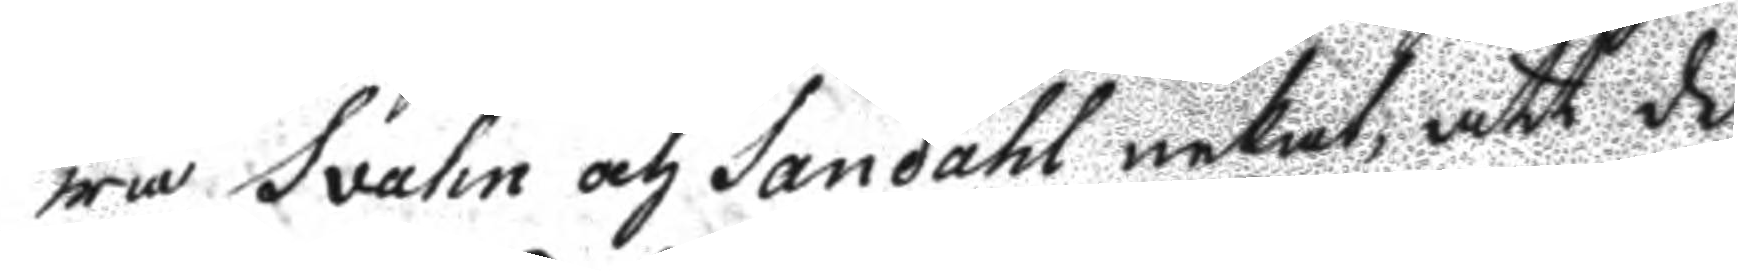wa Svahn och Sandahl nekat, att de
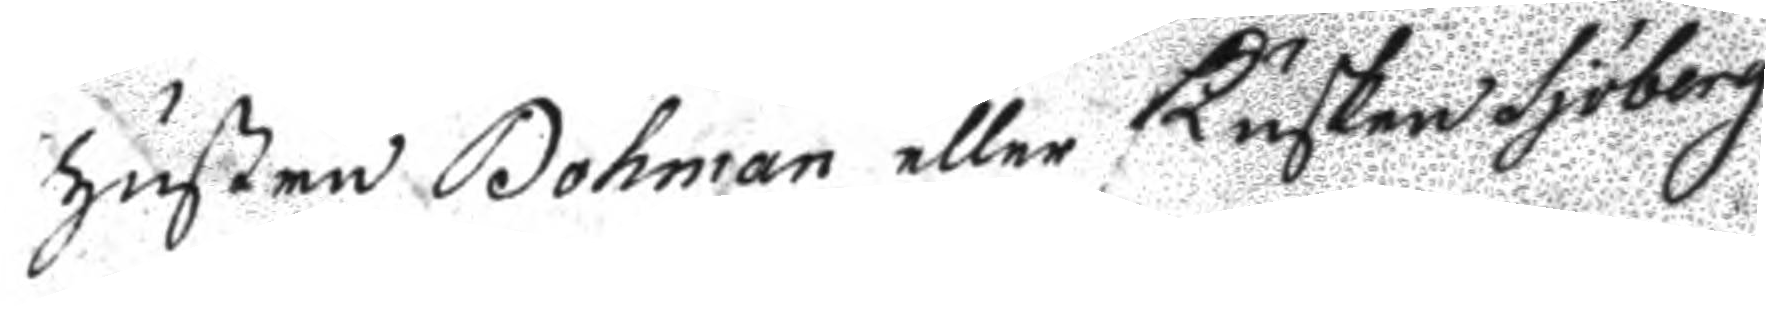hustru Bohman eller Kusken Sjöberg
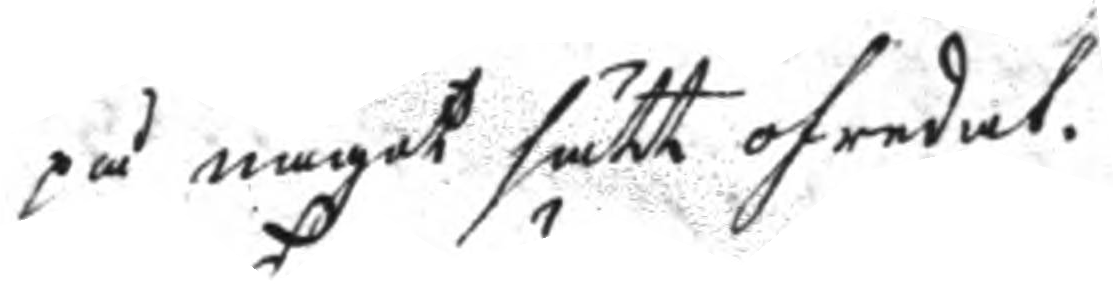på något sätt ofredat.
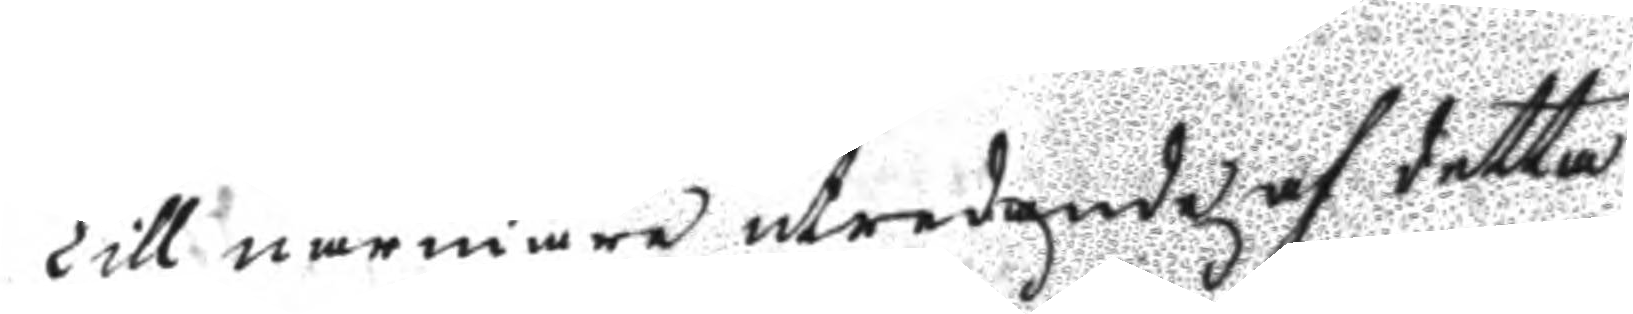Till närmare utredande af detta
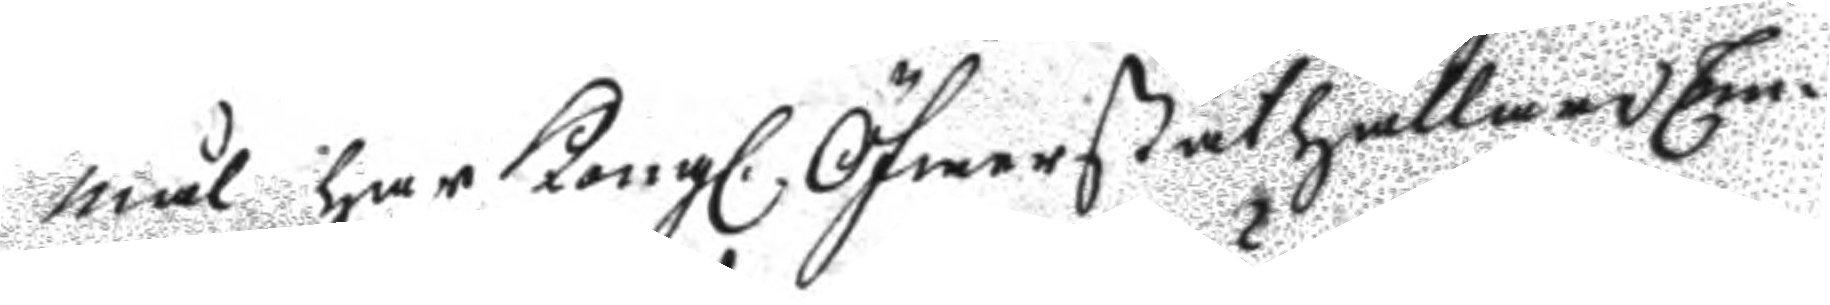mål har Kongl. Öfwerståthållare Em¬
